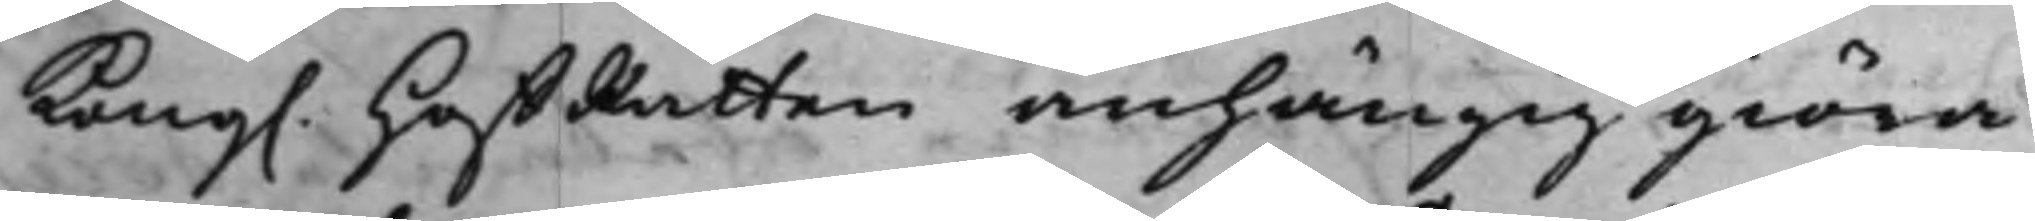Kong. HoffRätten anhängig giöra 
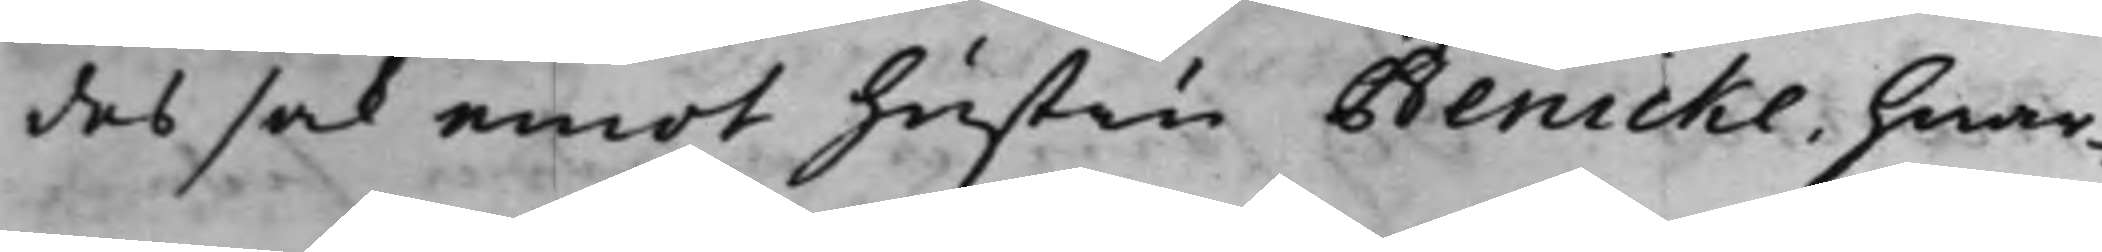des sak emot hustru Benicke, hwar¬
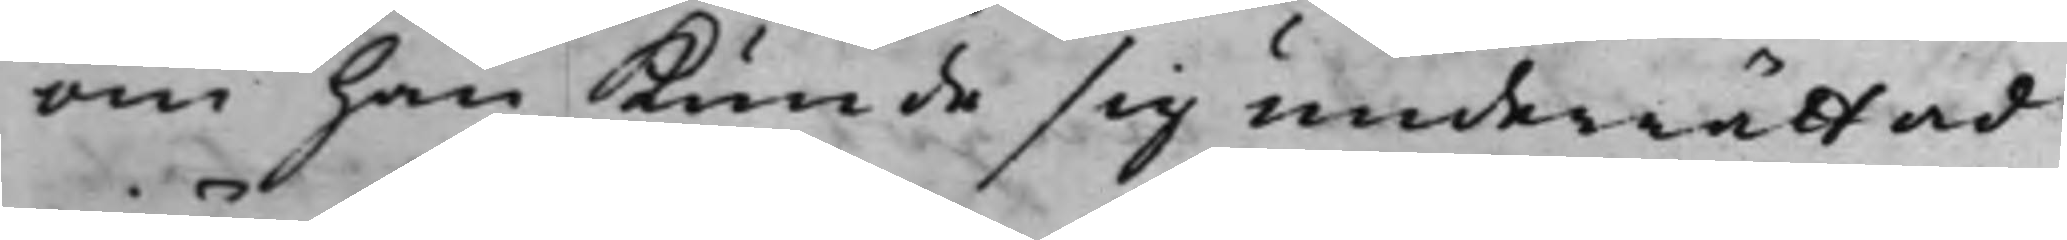om han kunde sig underrättad
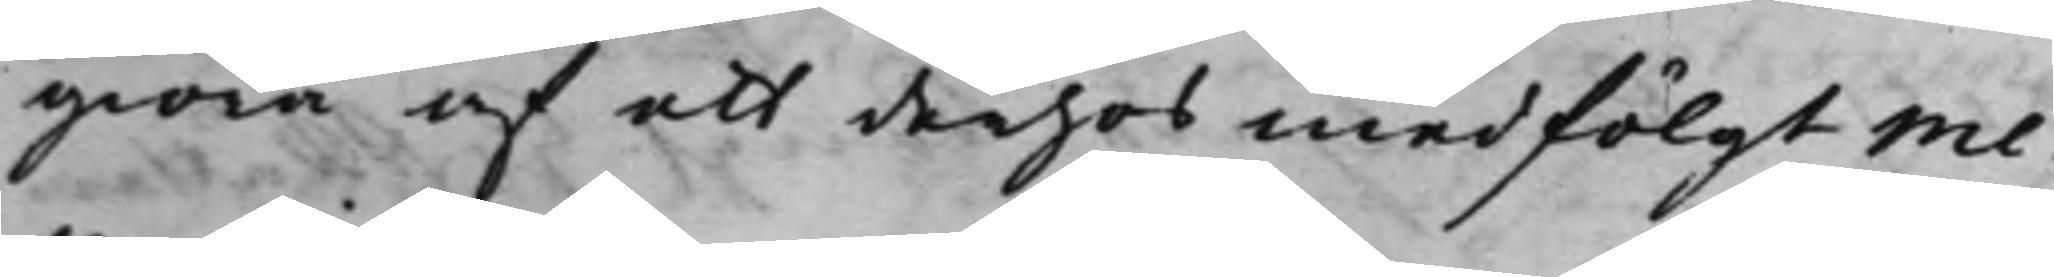giöra af ett derhos medfölgt me¬
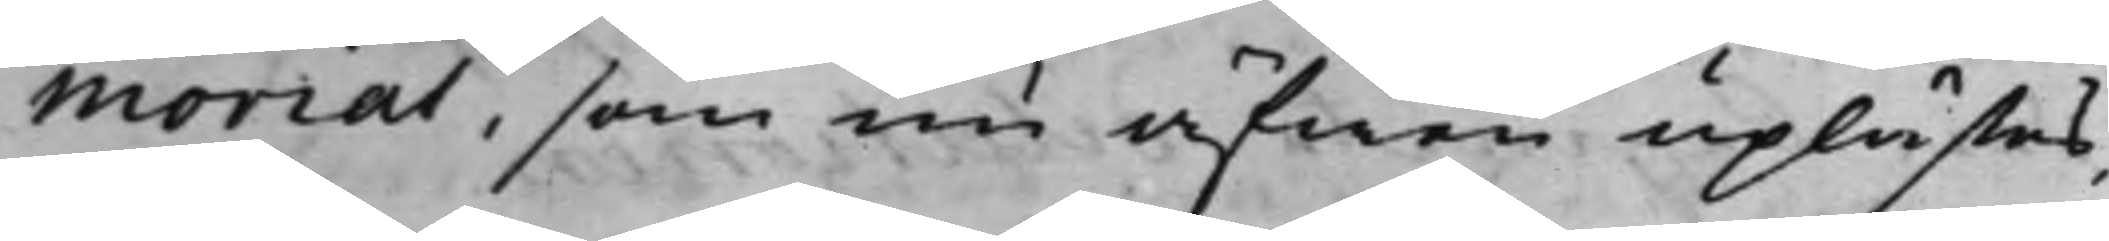morial, som nu äfwen uplästes,
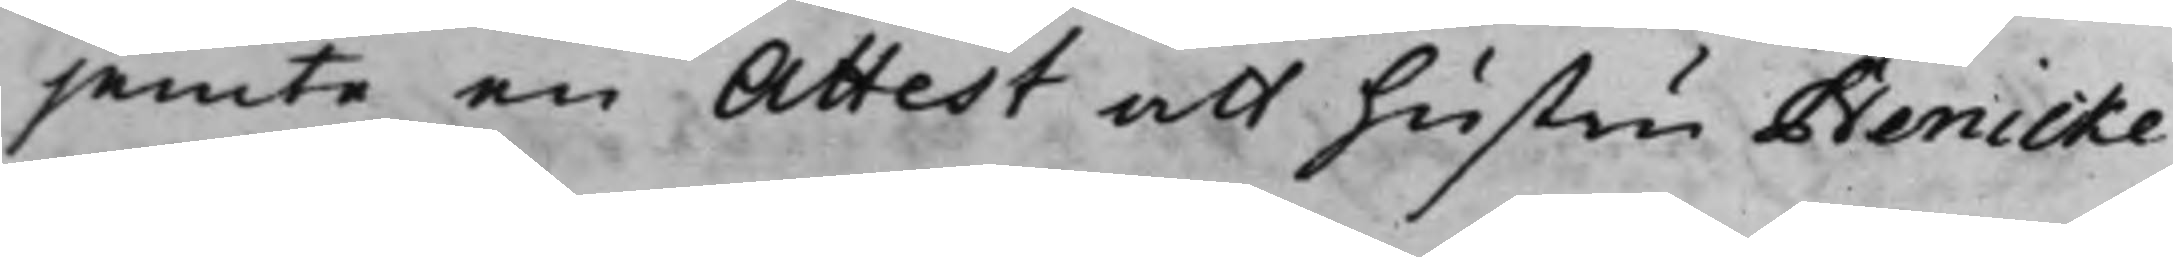jemte en Attest att hustru Benicke
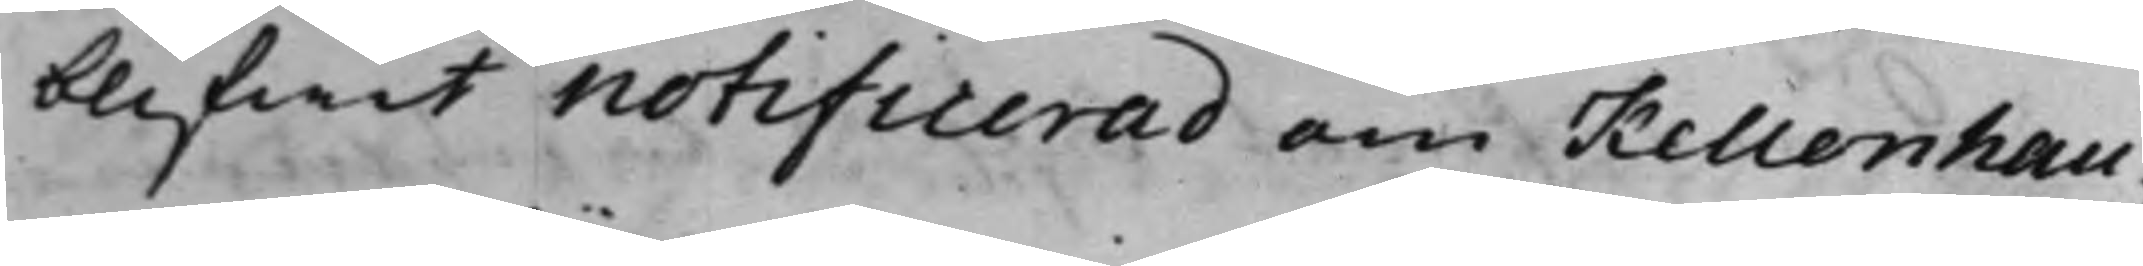blifwit notificerad om Kellenhau¬
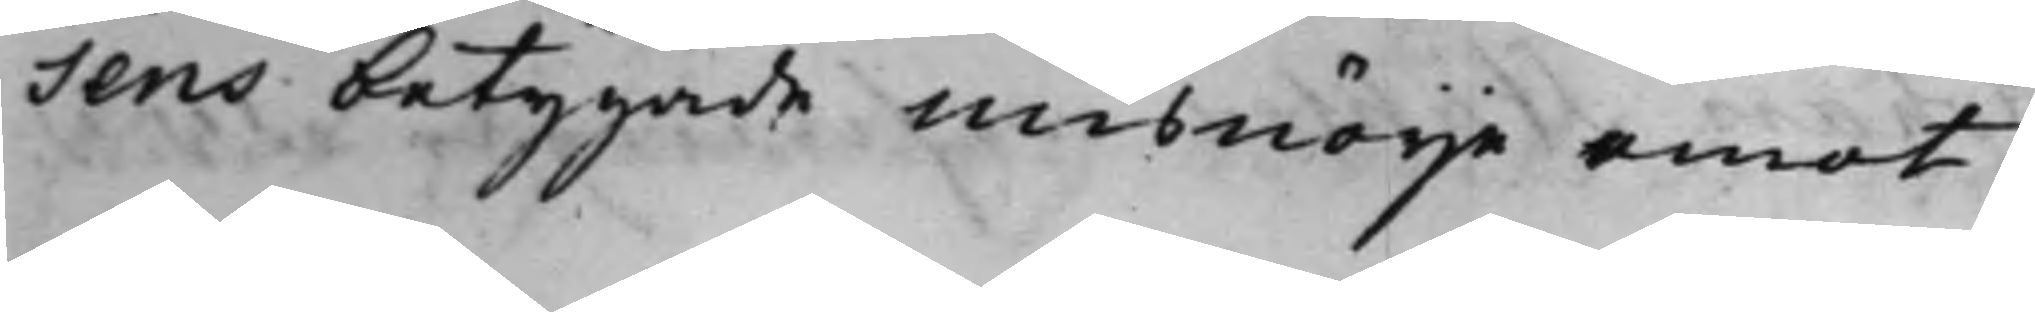sens betygade misnöije emot
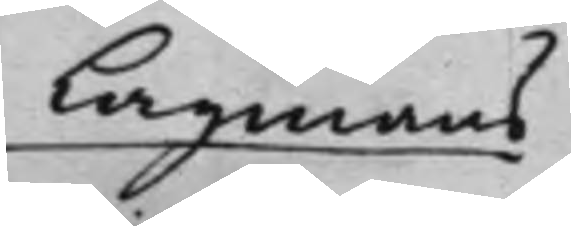Lagmans
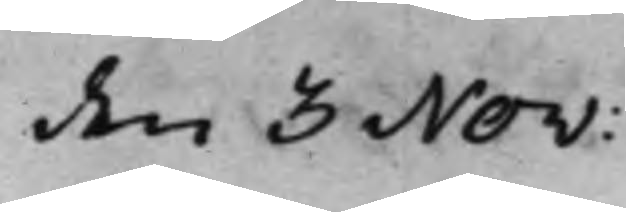den 3 Nov:
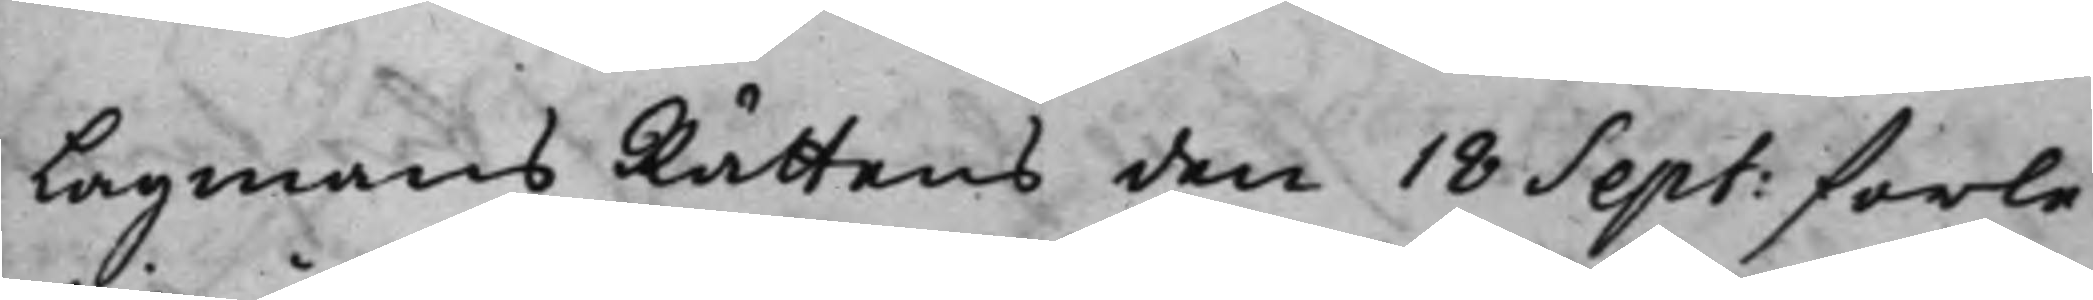Lagmans Rättens den 18 Sept: förle¬
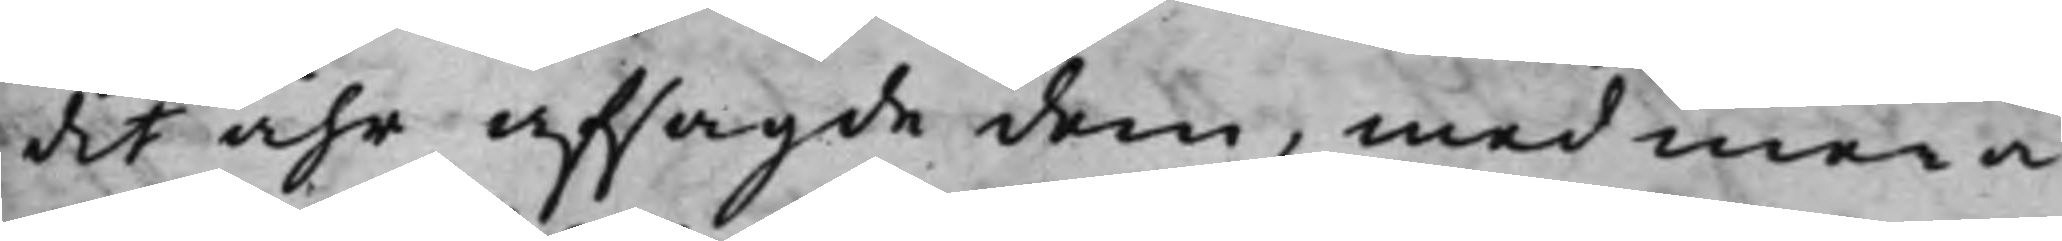det åhr afsagde dom, med mera;
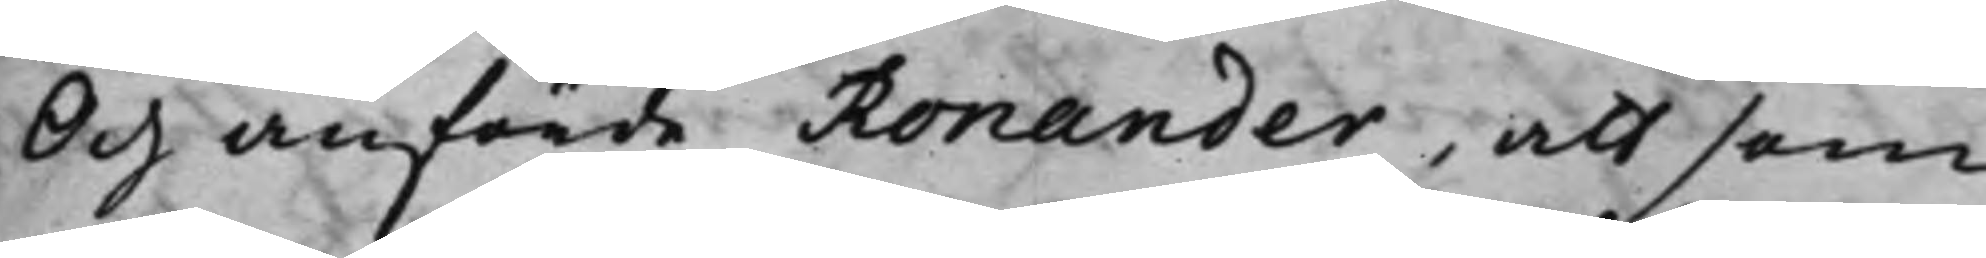Och anförde Ronander, att som
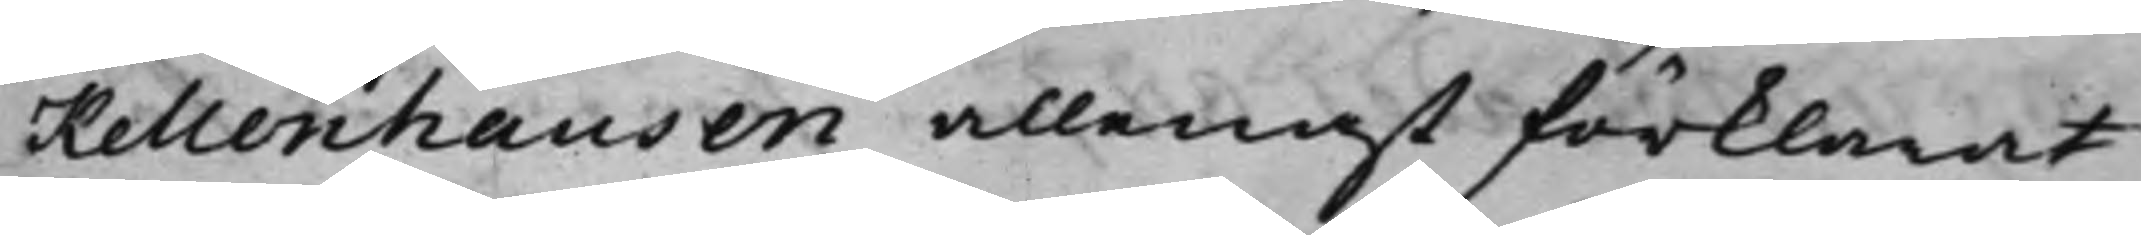Kellenhausen allenast förklarat
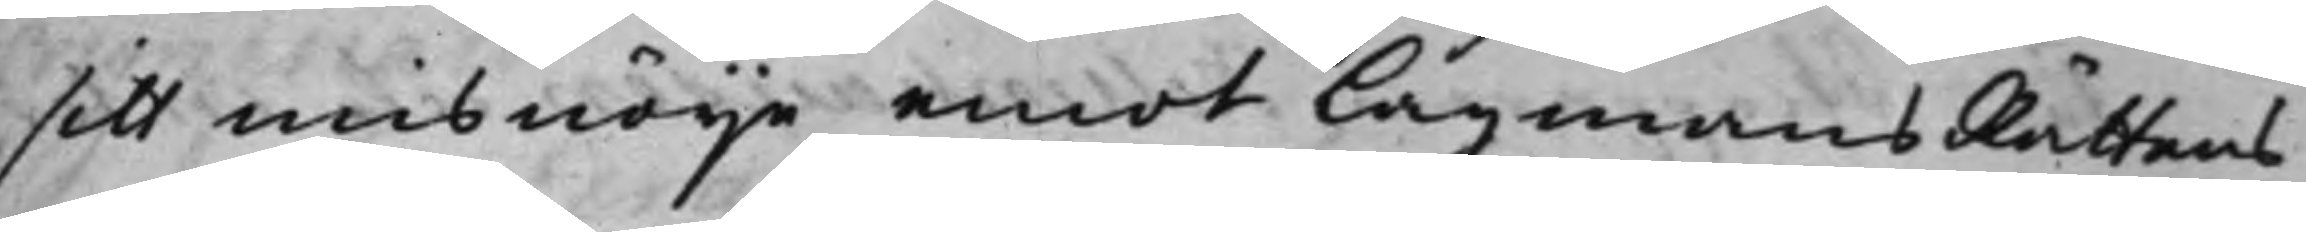sitt misnöije emot LagmansRättens
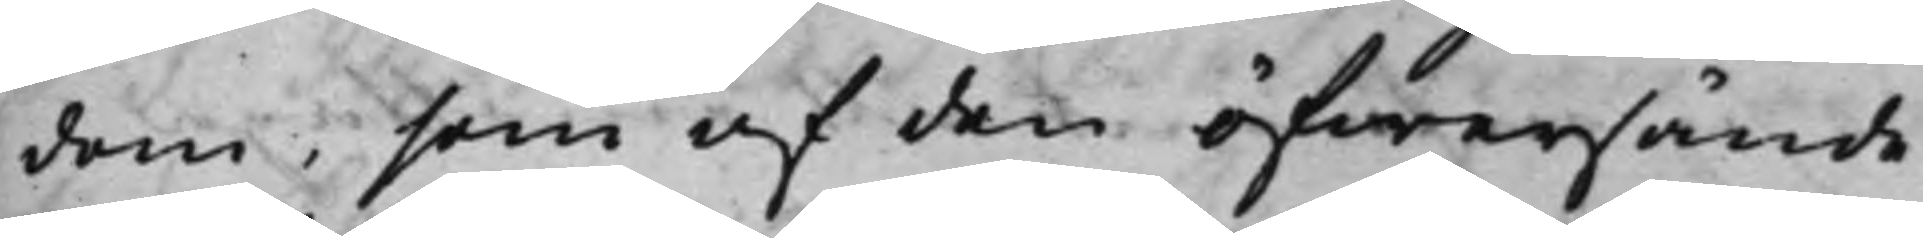dom, som af den öfwersände
